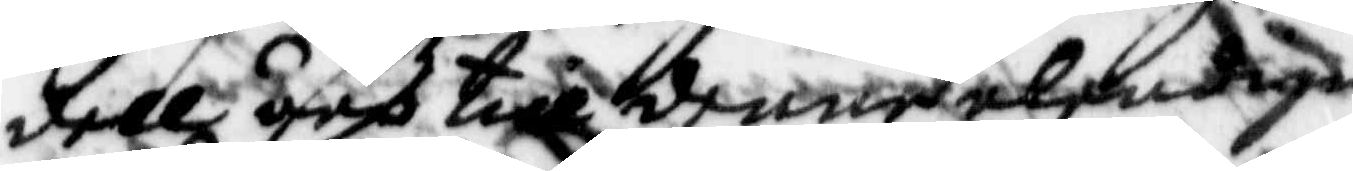dell äro till denne älendige
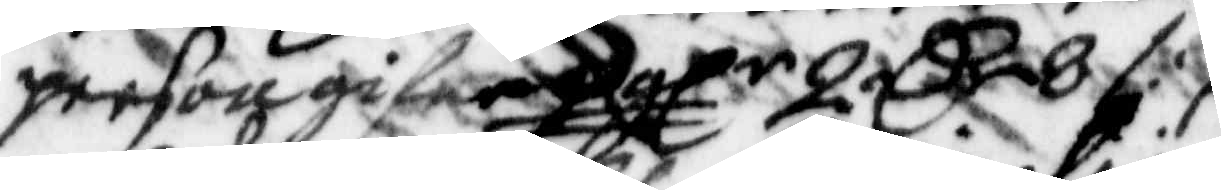person gifne 2 glr 2 Cr 8 /:
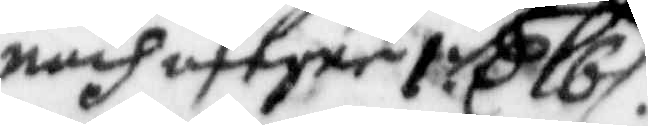medg afegne 1 Cr 16 /:
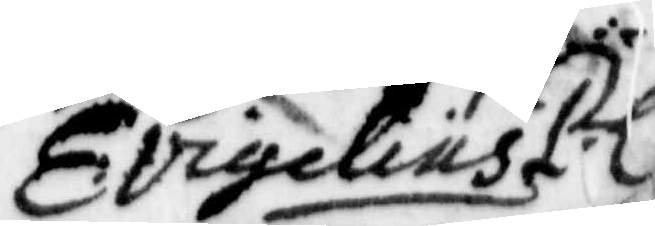E: vigelius
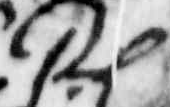P.L
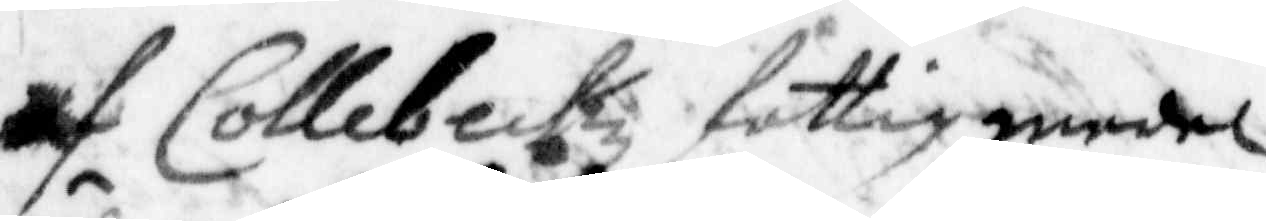af Collebectz fattigmedel
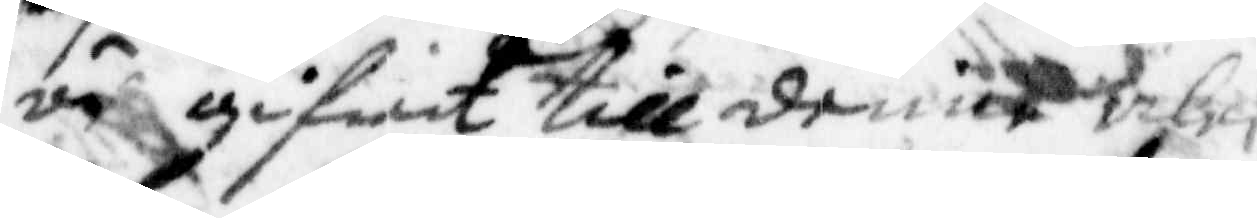är gifwet till denne älen¬
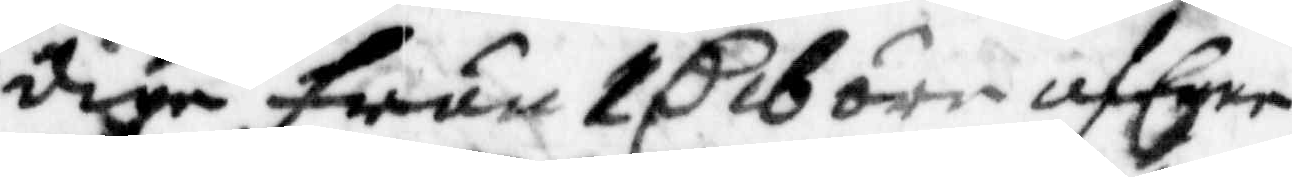dige frun 1 C 16 öre af Egne
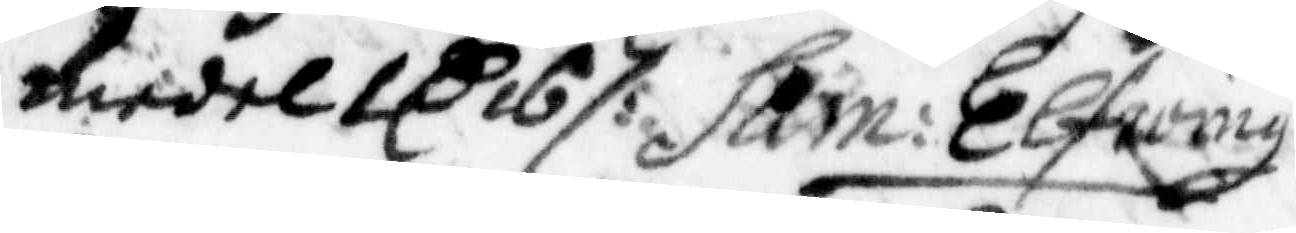medel 1 C 16 /: Sam: Elfwing
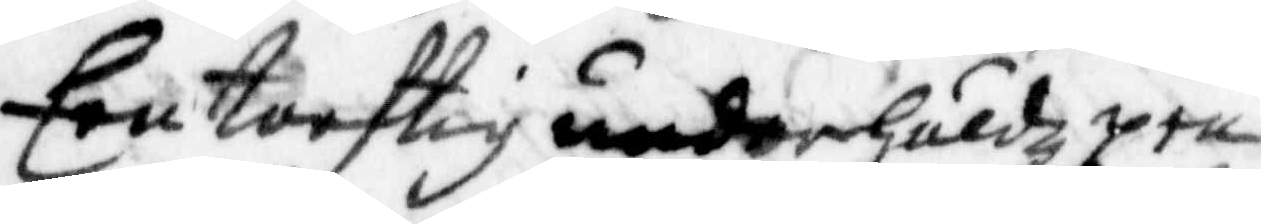Een torftig underhåldz pen¬
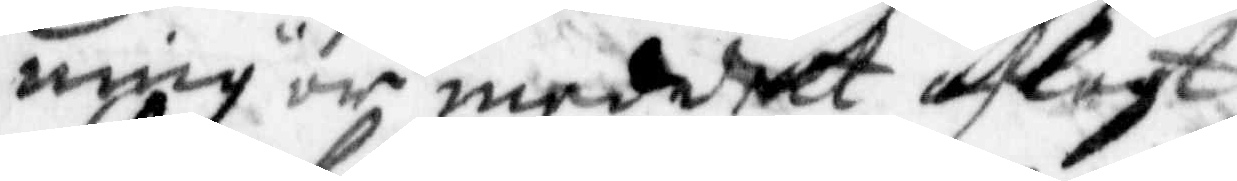ning är meddelt aflaft
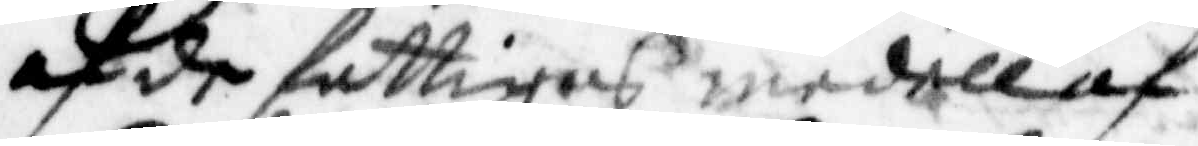af de fattigas medell af
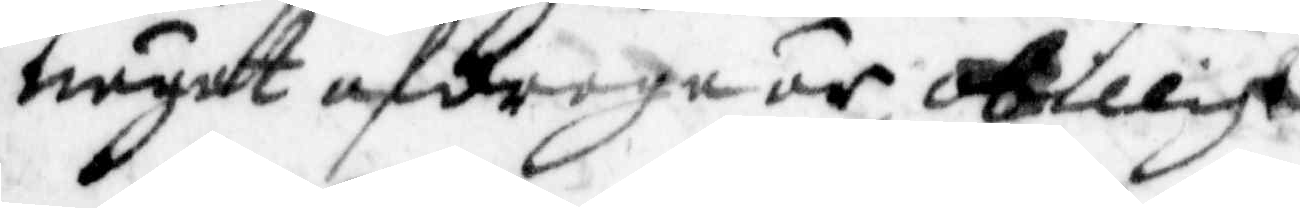någat afdraga är obilligt
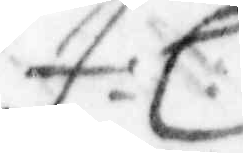J: L:
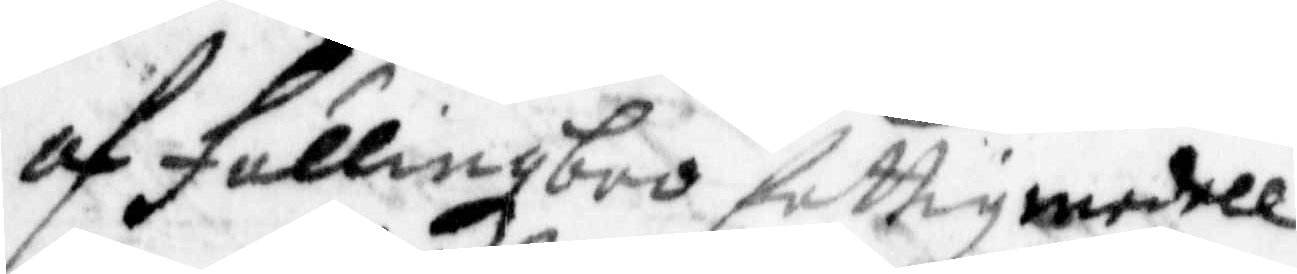af Fellingzbro fattigmedell
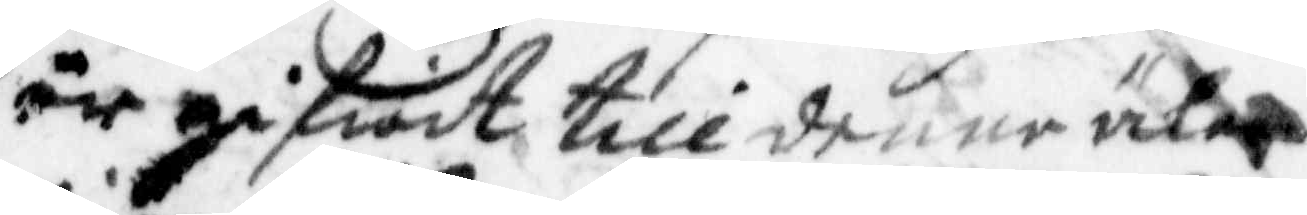är gifwit till denne älen¬
